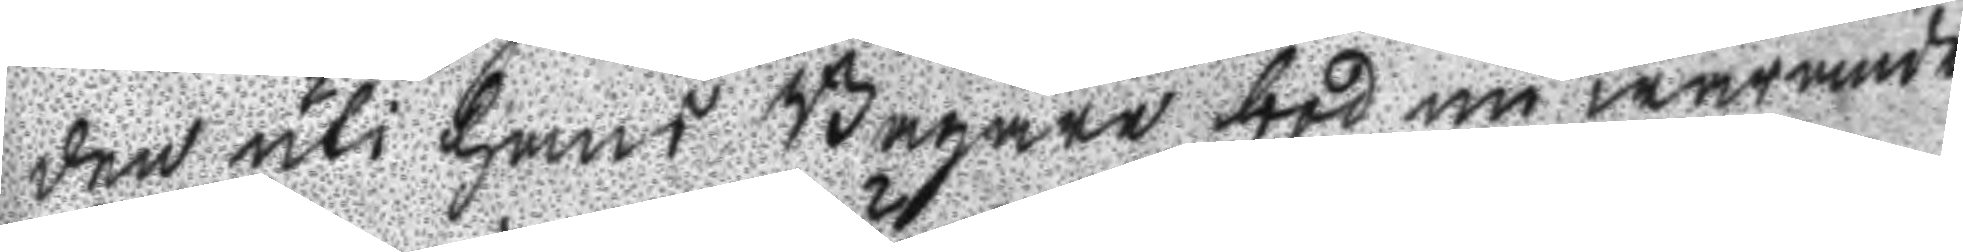den uti hans Bagare bod nu warande
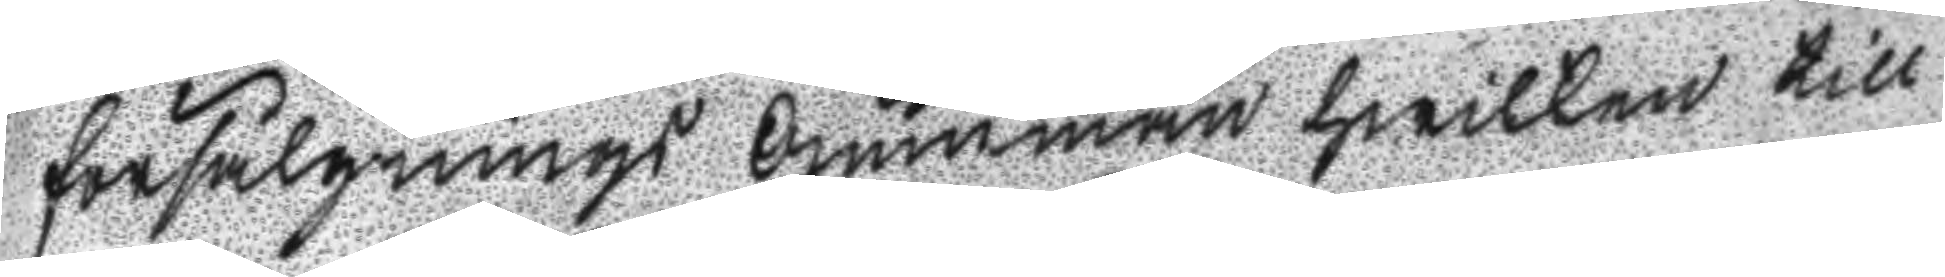försälgnings Gumman hwilken till
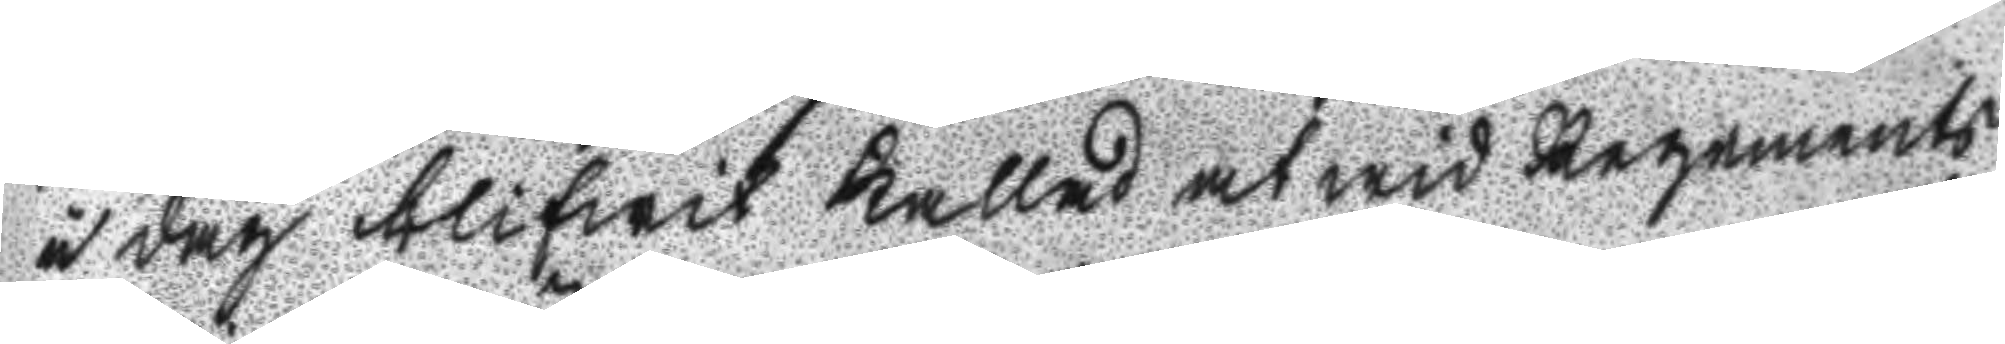i dag blifwit kallad at wid Regements
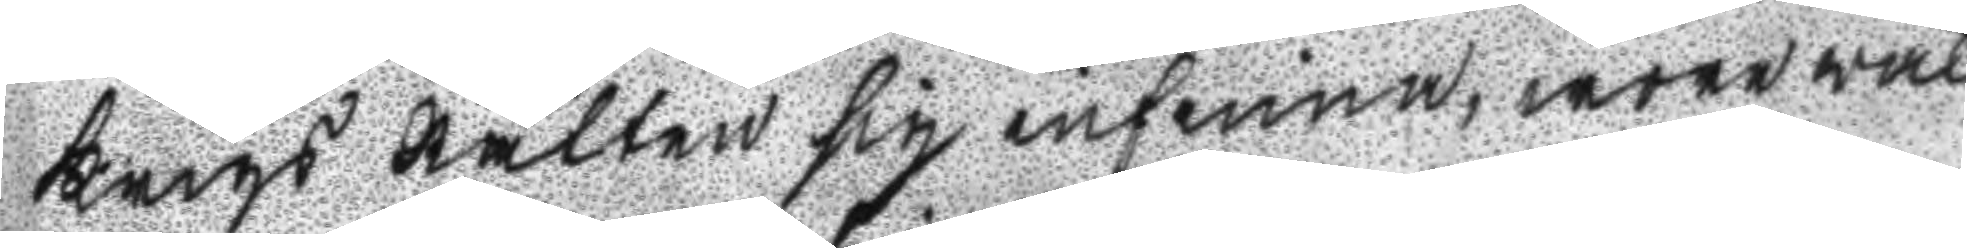Krigs Rätten sig infinna, wara wäl
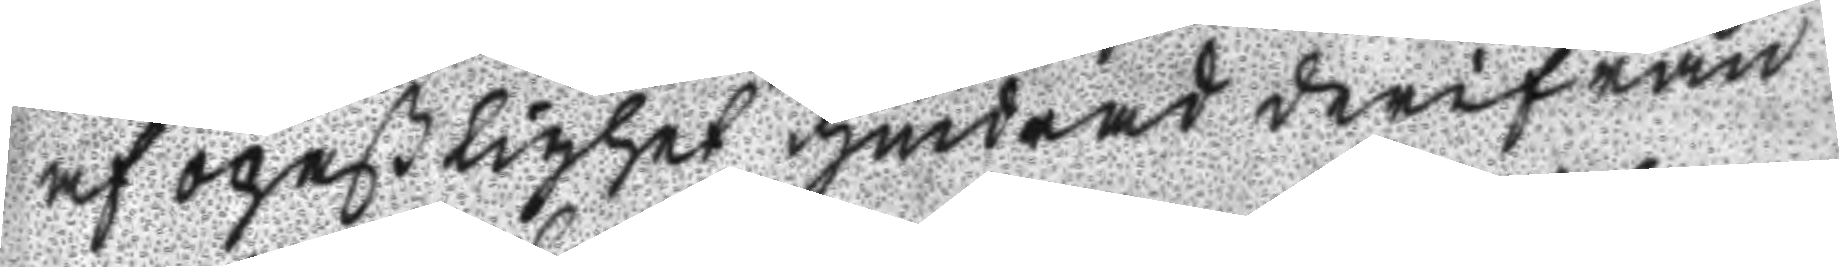af opaßlighet hindrad derifrån,
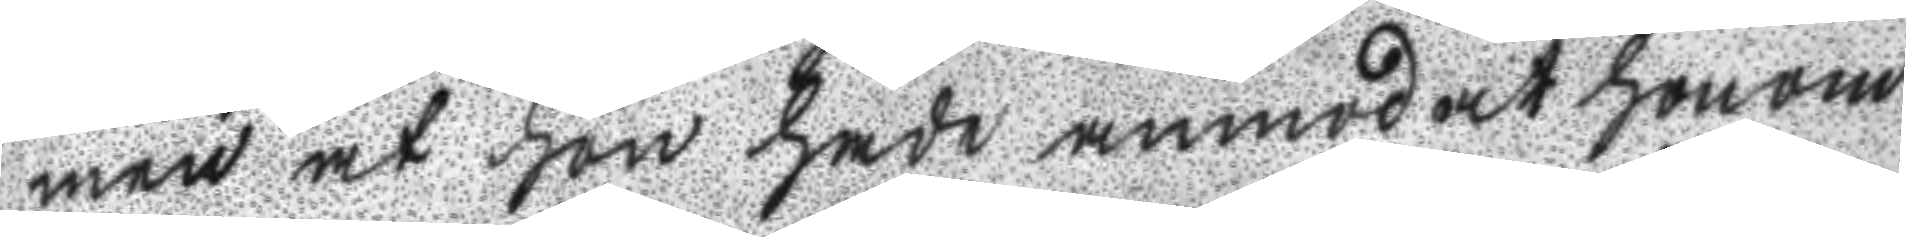men at hon hade anmodat honom
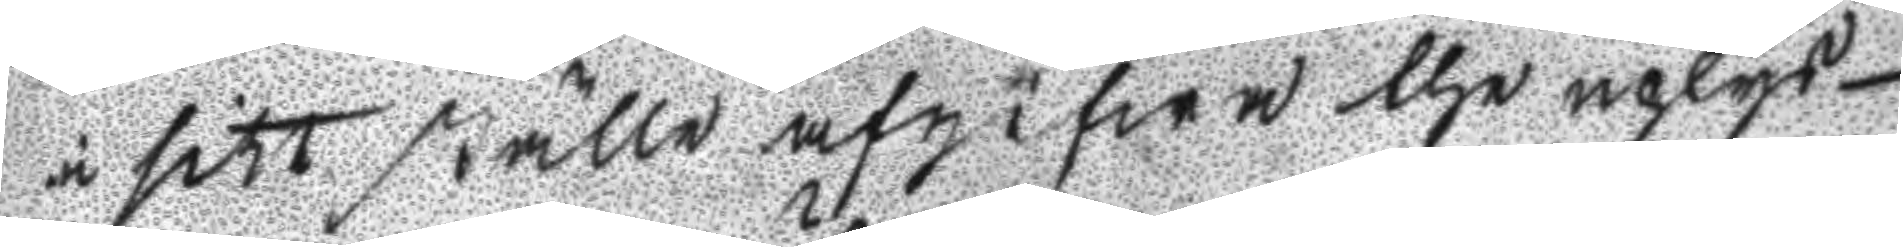i sitt ställe afgifwa the uplys¬
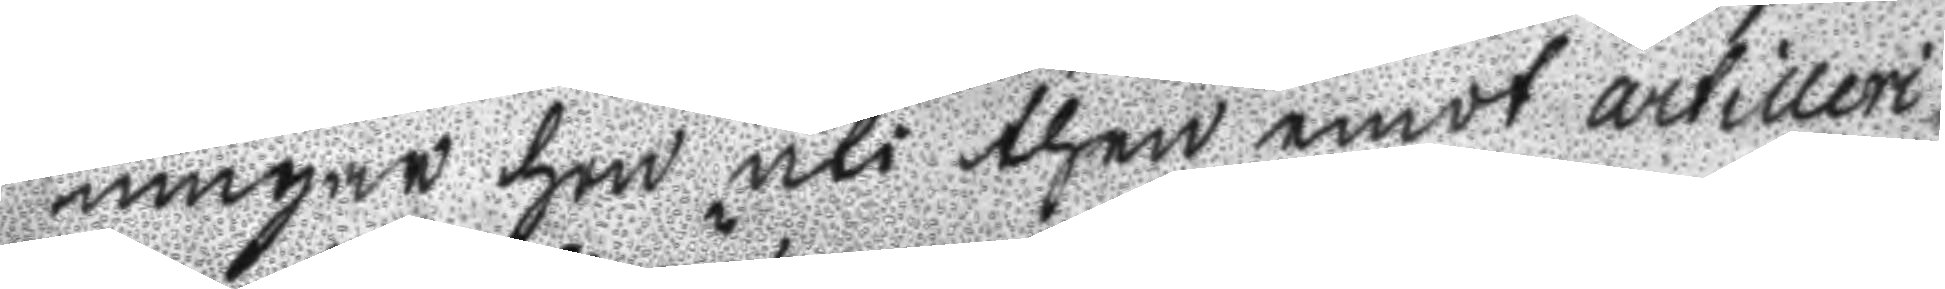ningar hon uti then emot artilleri
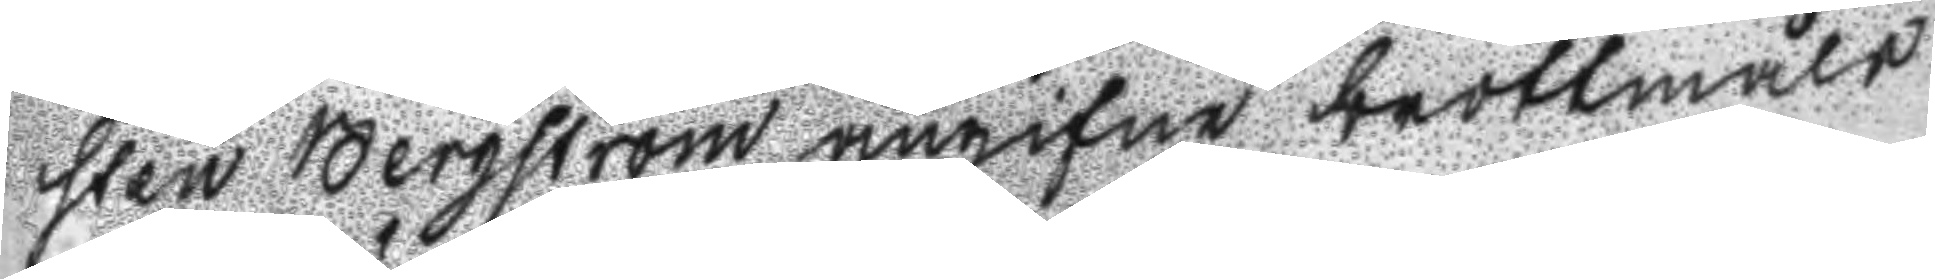sten Bergström angifnw brottmåls
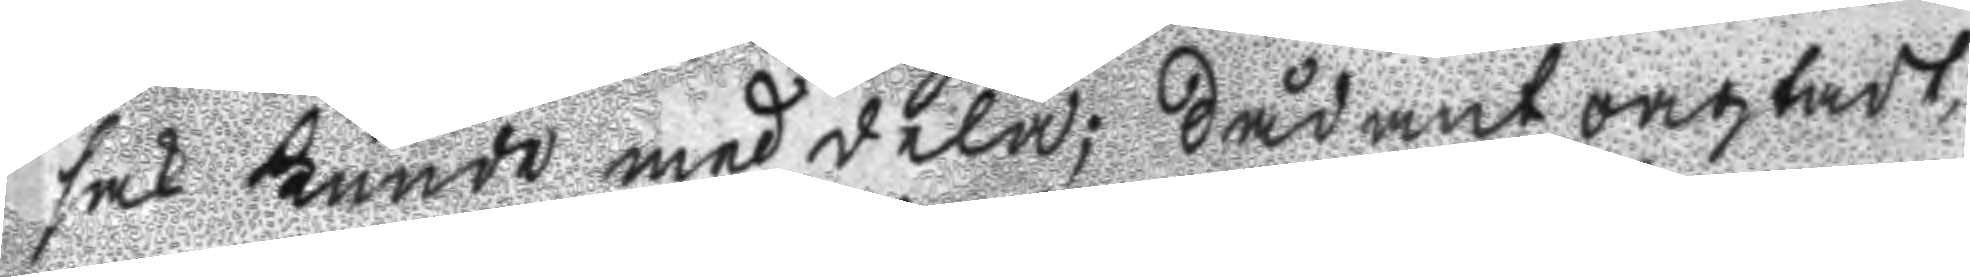sak kunde meddela; Sådant oagtadt,
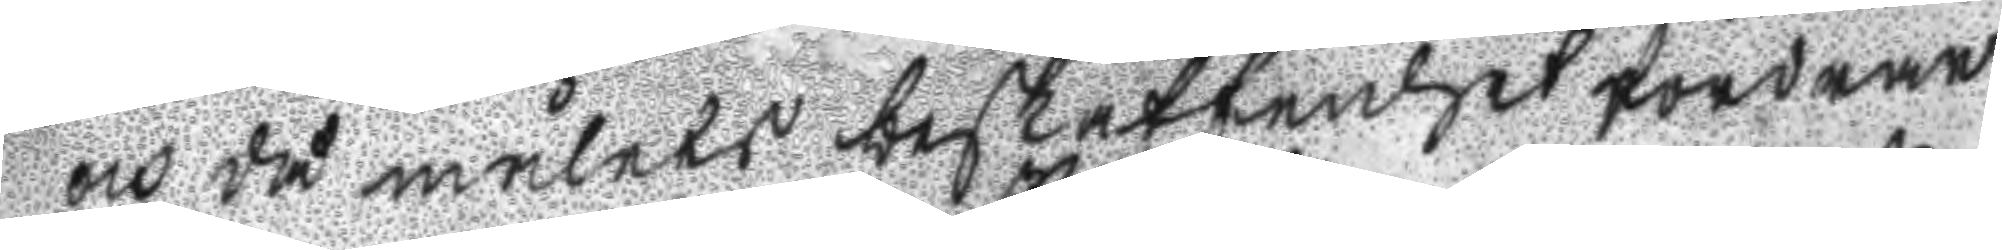och då målets beskaffenhet fordrar
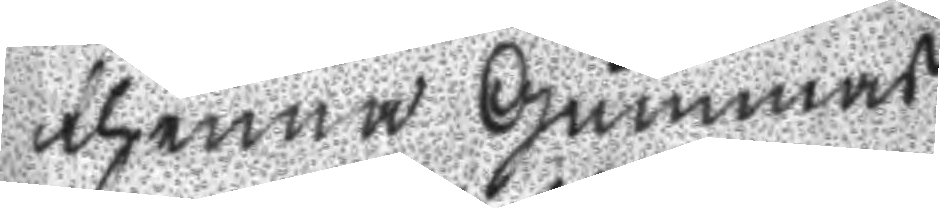thenna Gummas
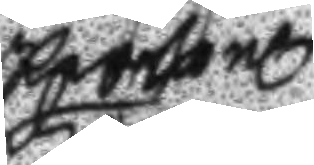Personl
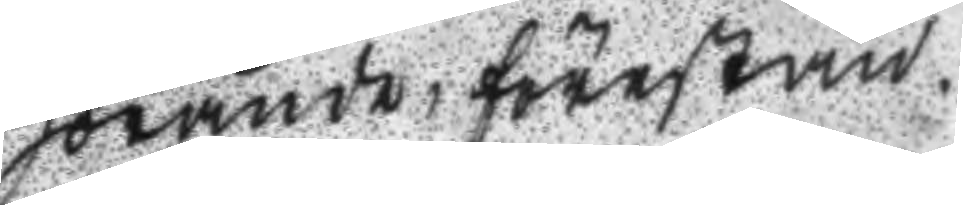hörande, förestän¬
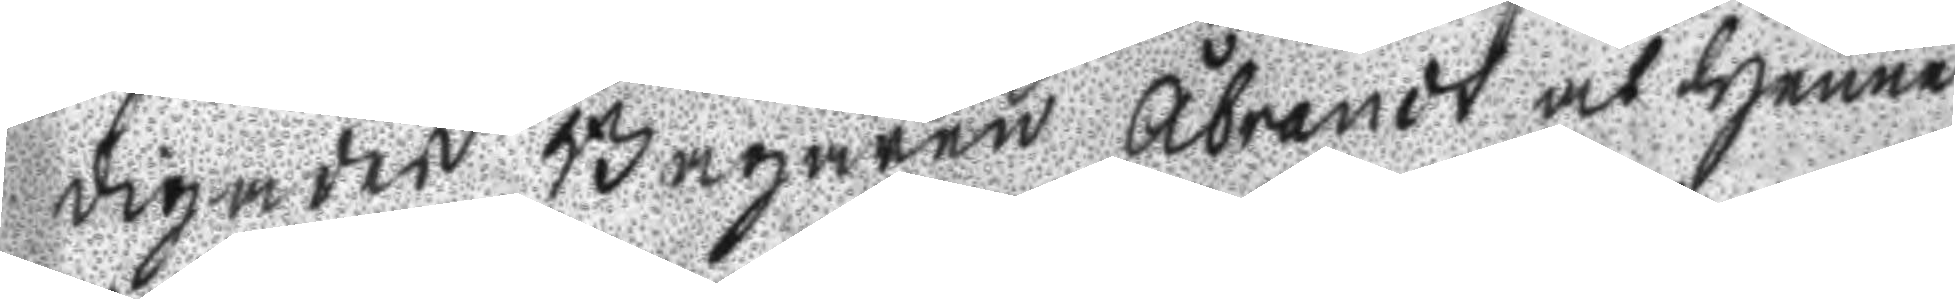digades Bagaren Åbrandt at henne
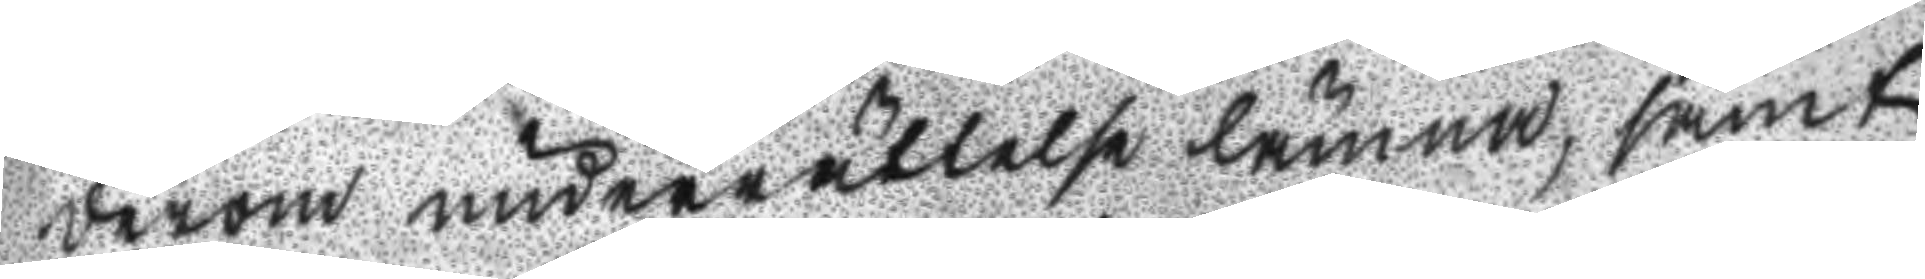derom underrättelse lämna, samt
